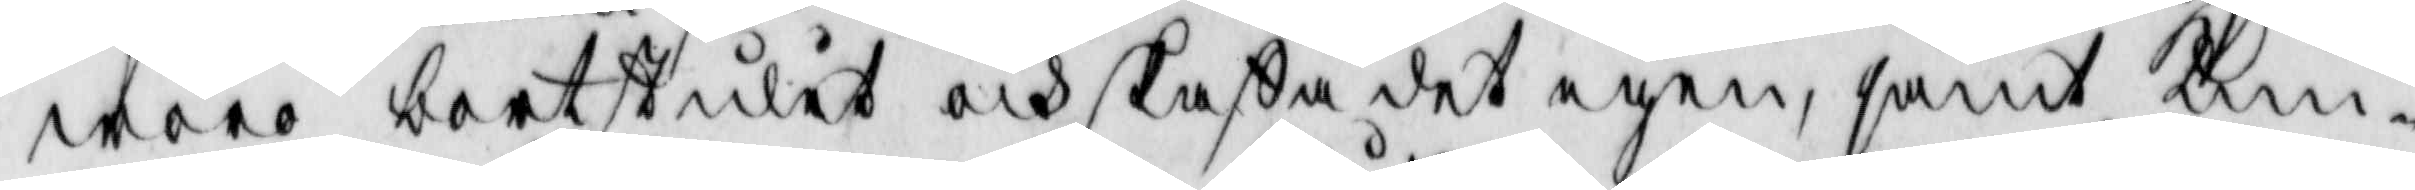woro bortstulit och skaffa det igen, samt kun¬
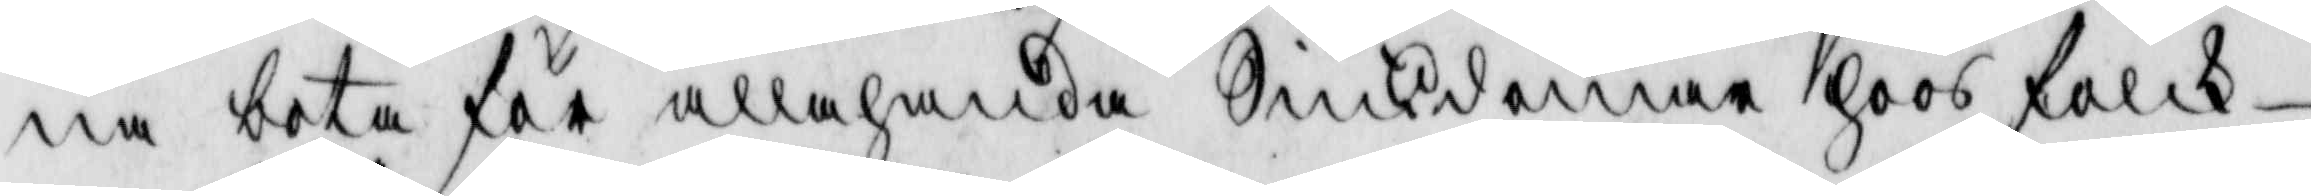na bota för allehanda Siukdomar hoos folck-
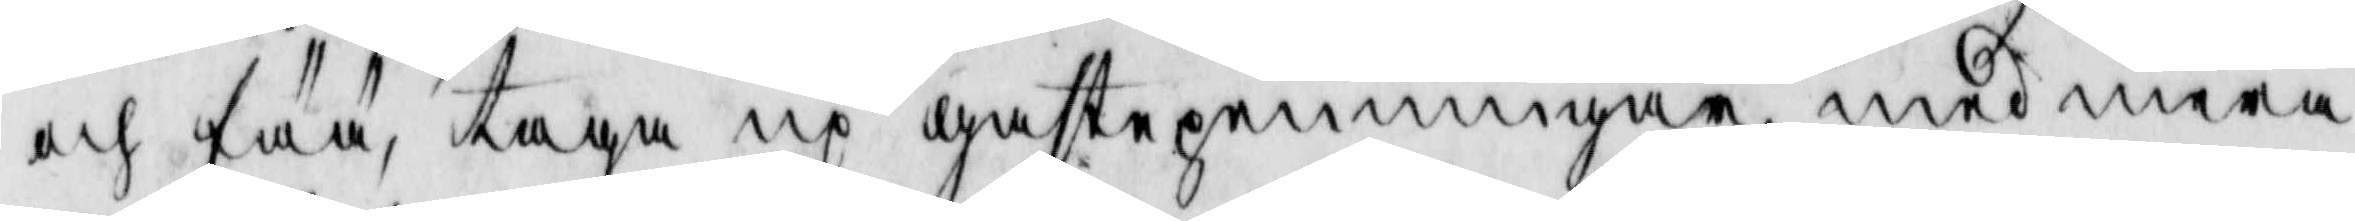och fää, taga up gastepenningar med mera
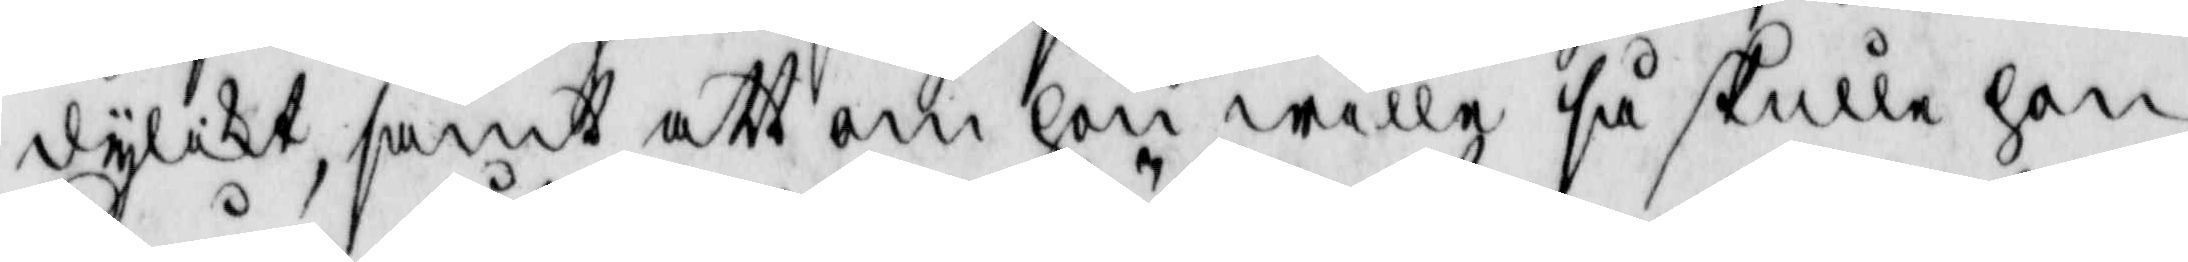dylikt, samt att om hon wille så skulle hon
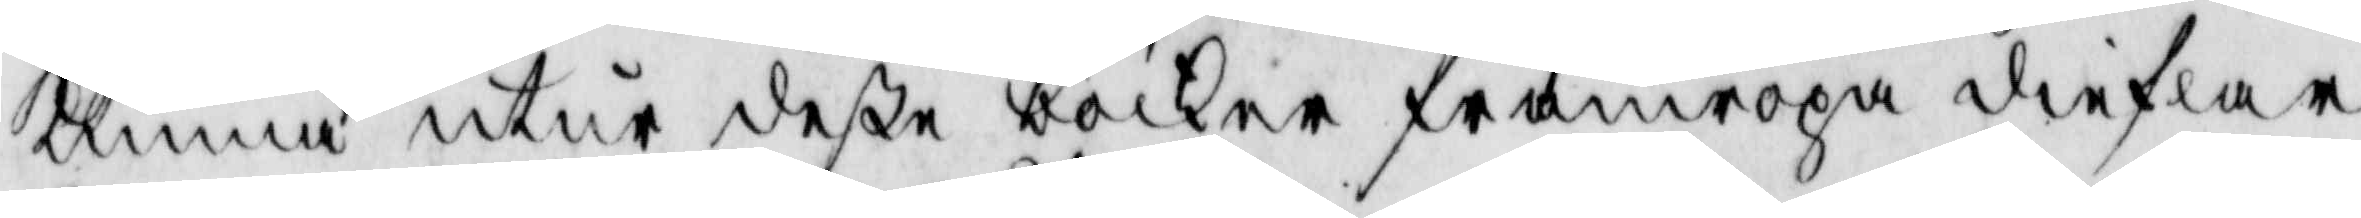kunna utur deße böcker framropa dieflar
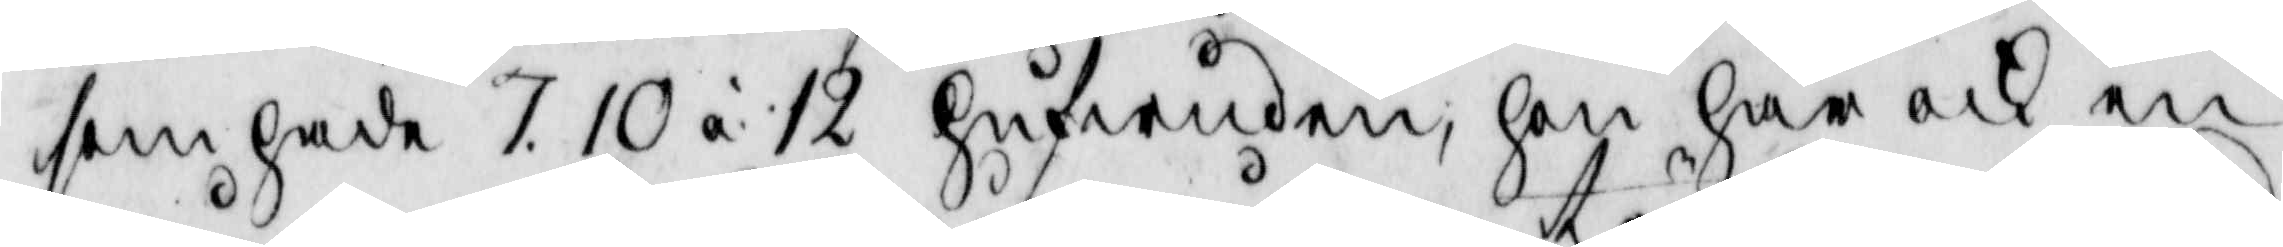som hade 7. 10 á 12 hufwuden, hon har ock en
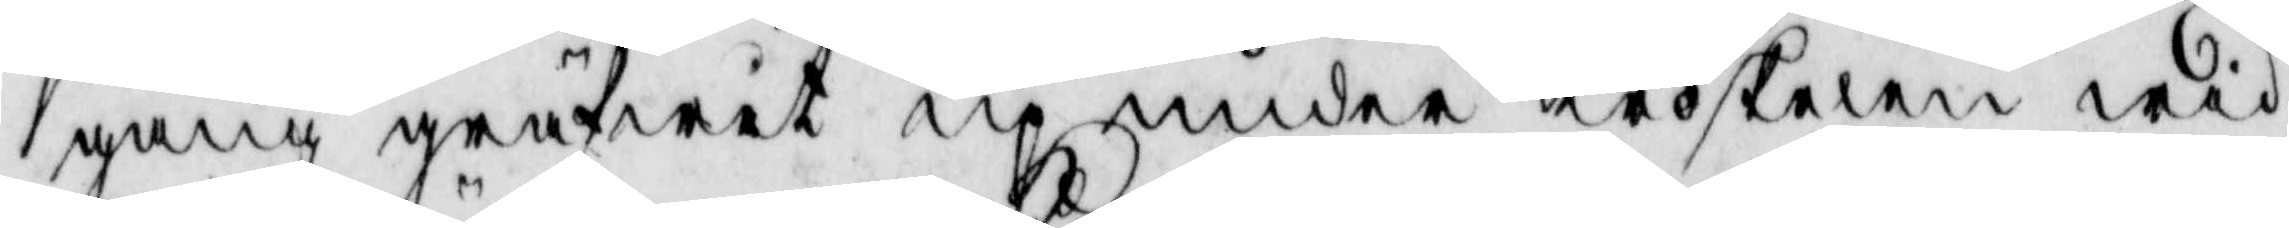gång gräfwit up under tröskelen wid
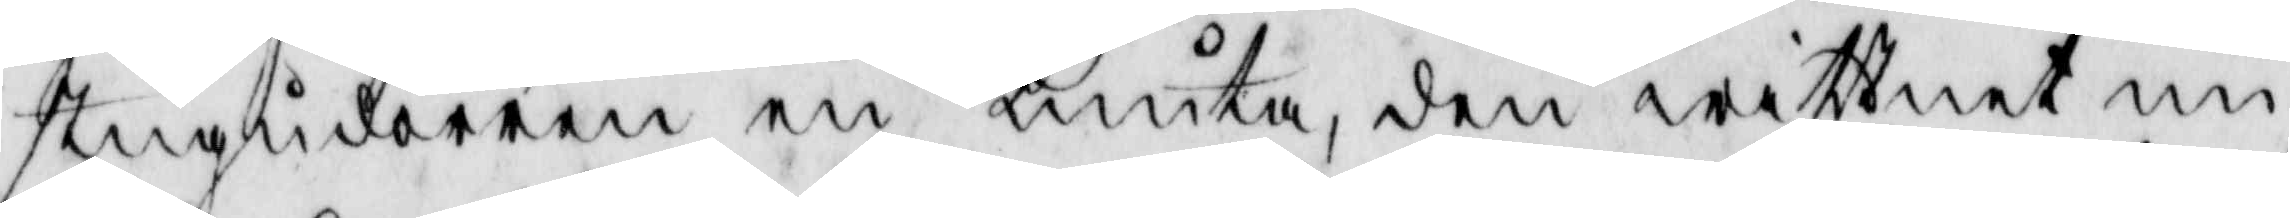stugudörren en knuta, den wittnet nu
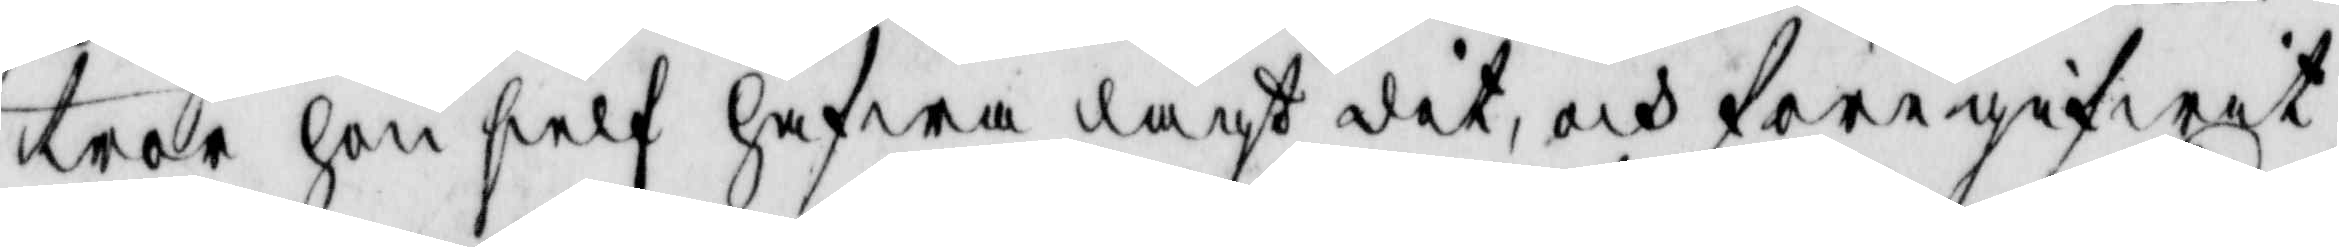tror hon sielf hafwa lagt dit, och föregifwit
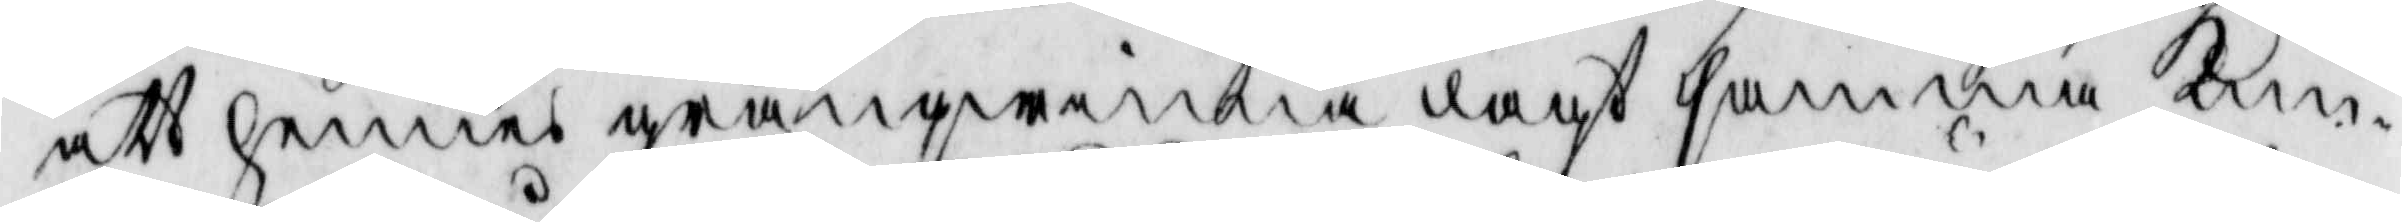att hennes granqwinna lagt samma knu¬
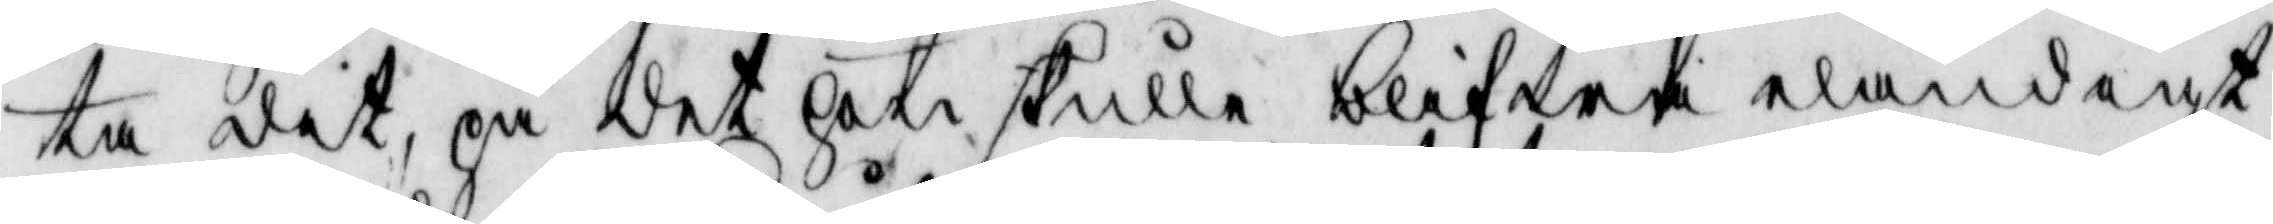ta dit, på det hon skulle blifwa eländigt
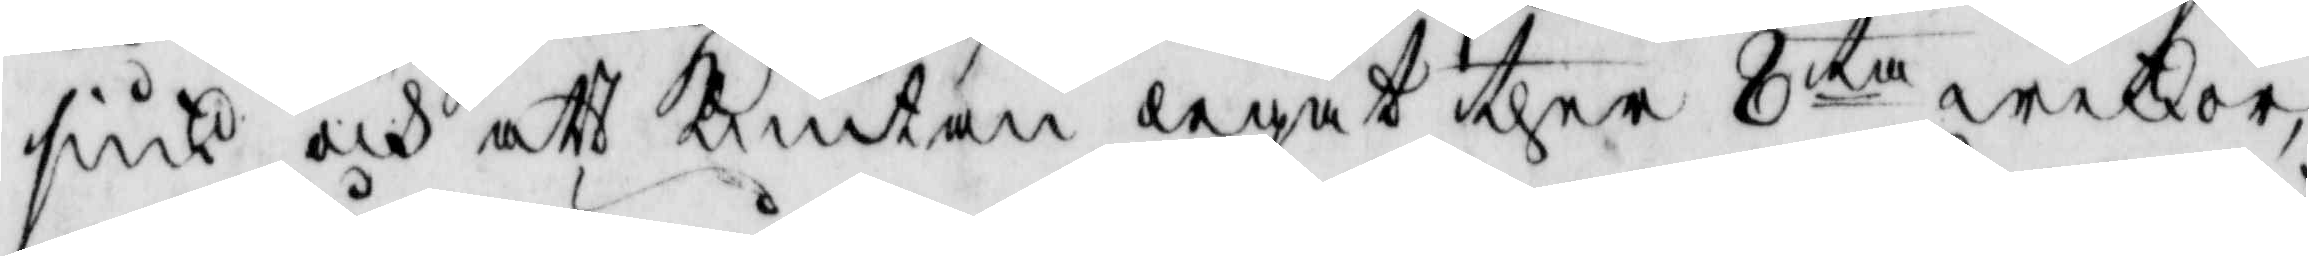siuk och att knutan legat ther 8ta weckor,
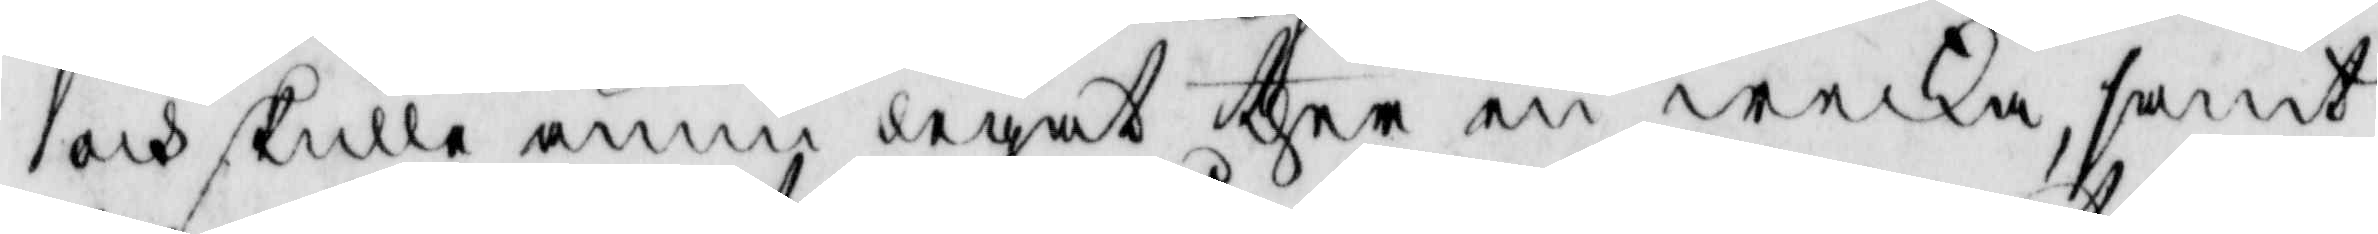och skulle ännu legat ther en wecka, samt
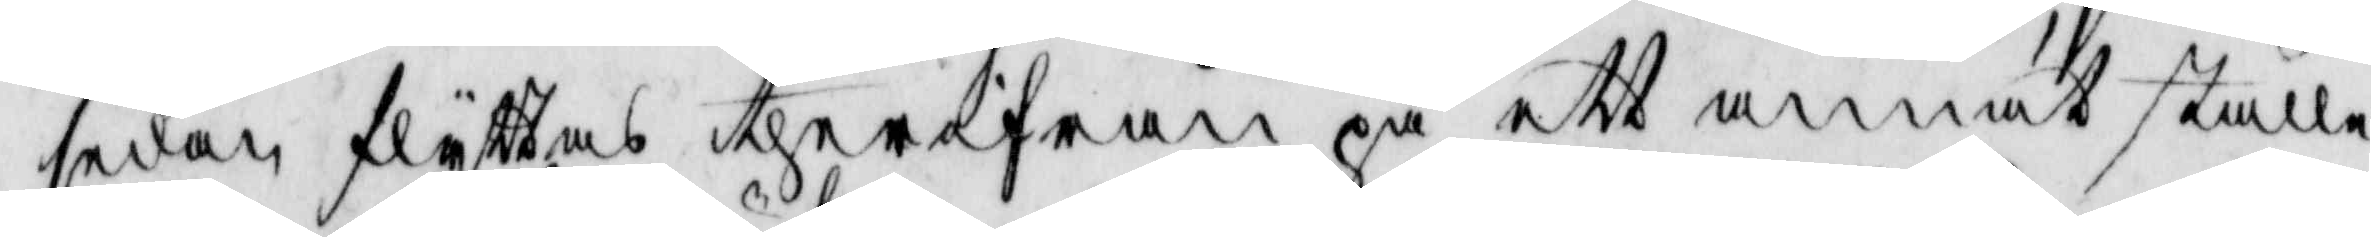sedan flyttas therifrån på ett annat ställe
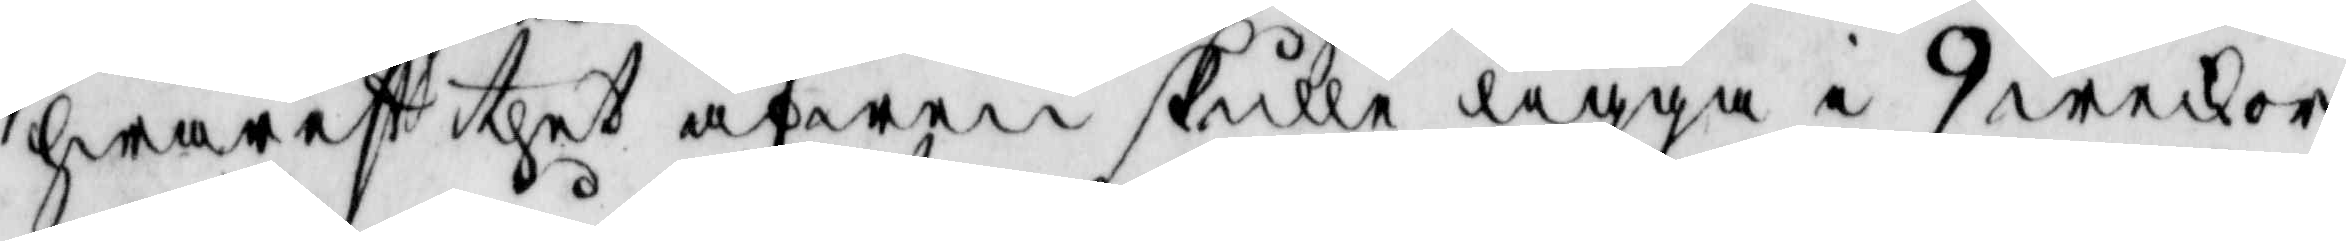hwarest thet äfwen skulle ligga i 9 weckor
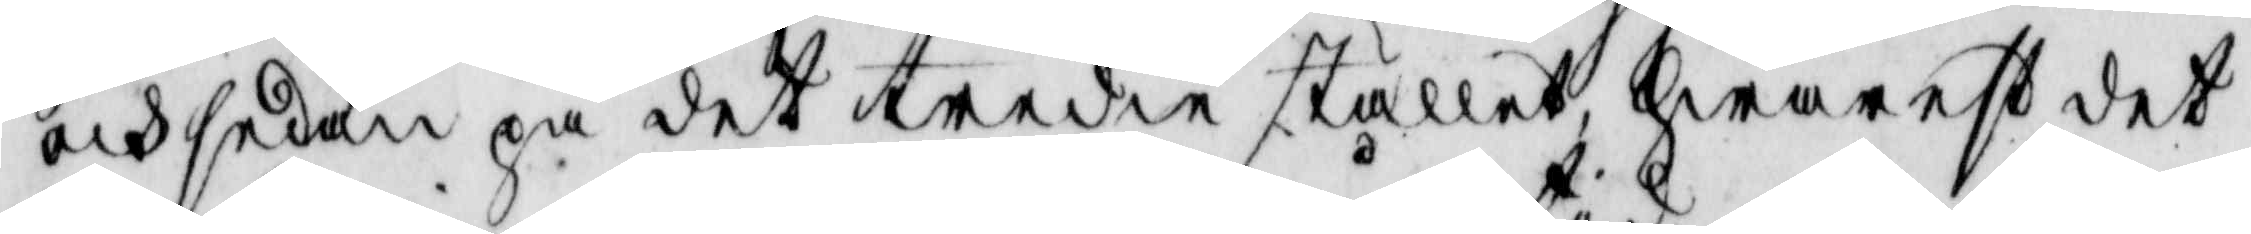och sedan på det tredie stället, hwarest det
